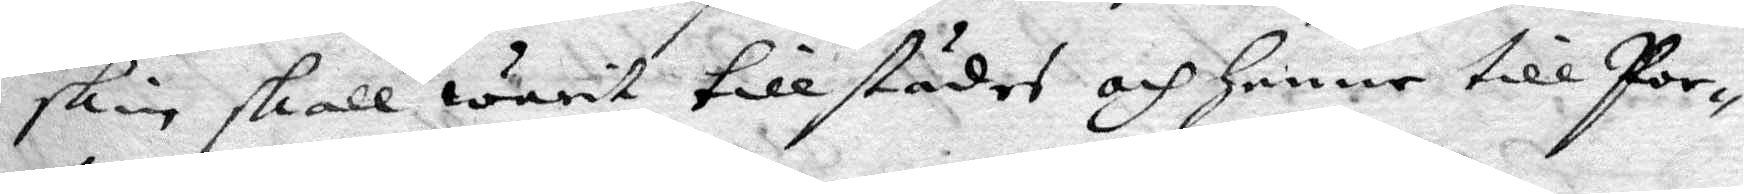skin skall warit tillstädes och henne till Por¬
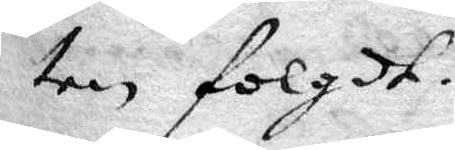ten folgdt.
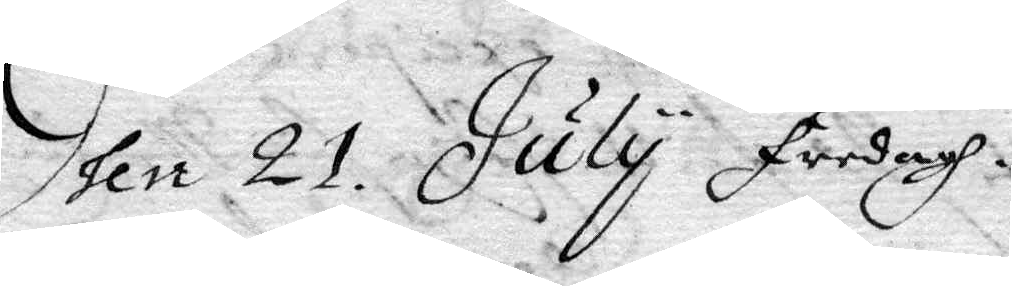Dhen 21 July Fredagh.
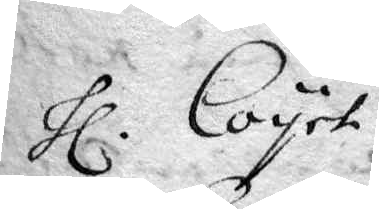Hl Coyet
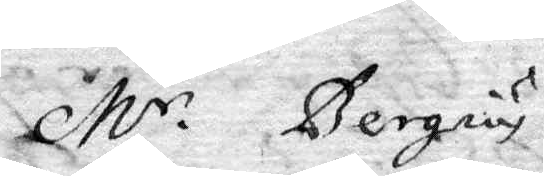Mr Bergius
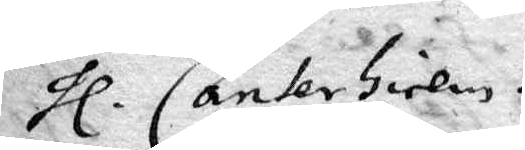Hl Canterhielm.
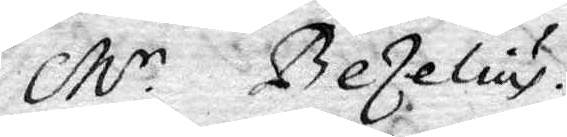Mr Bezelius.
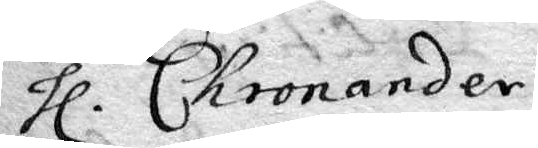Hl Chronander
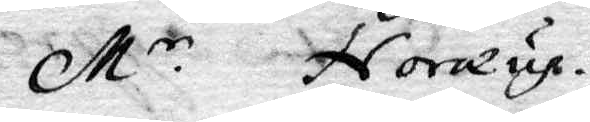Mr Noræus.
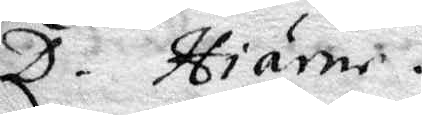D. Hiärne.
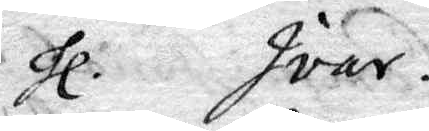Hl Ivar.
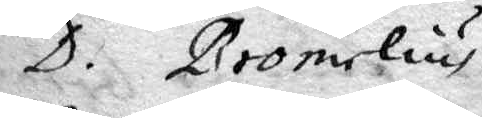D. Bromelius
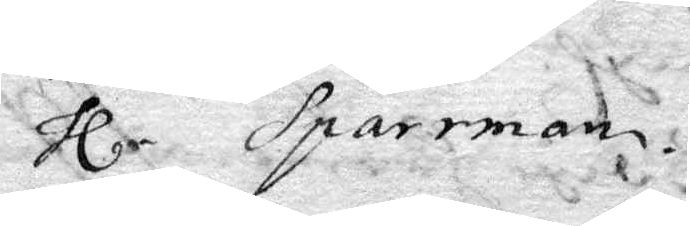Hl Sparrman.
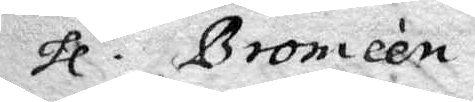Hl Bromeén
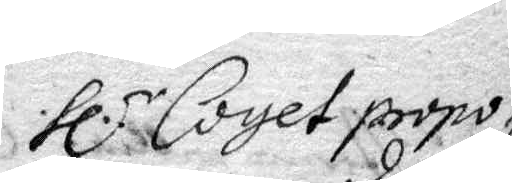Hl Coyet propo¬
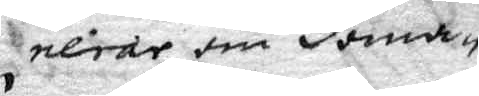nlrar om doma¬
